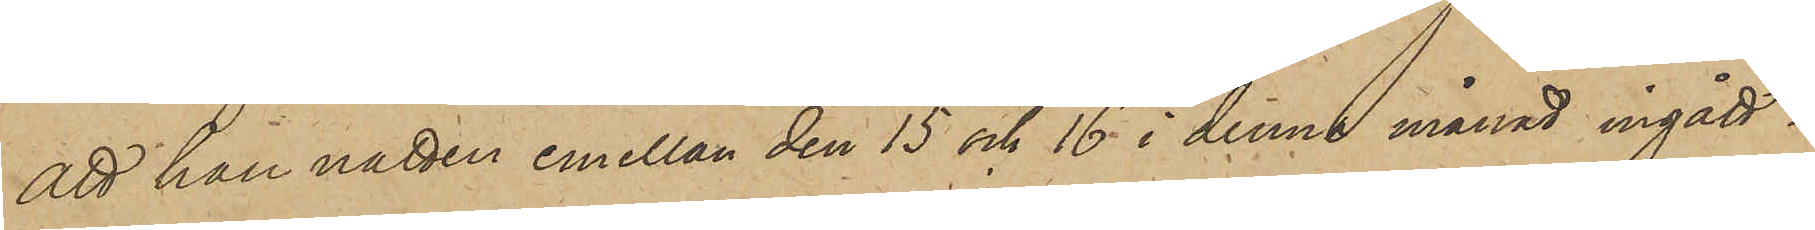att han natten emellan den 15 och 16 i denna månad ingått i
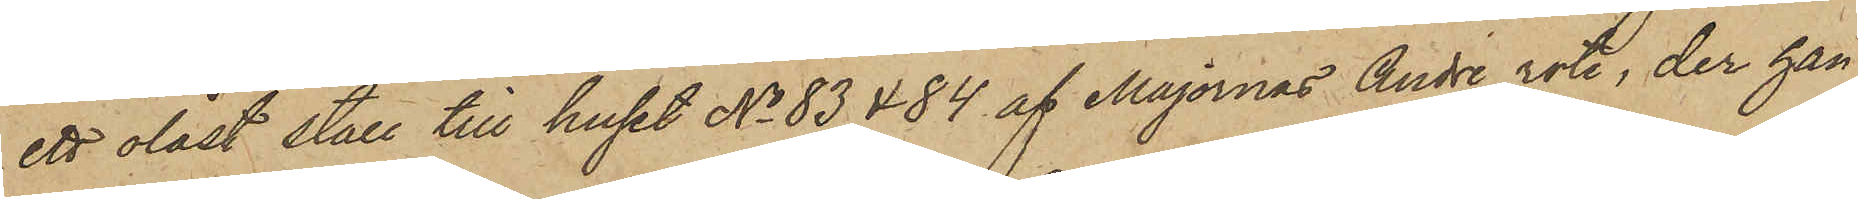ett olåst stall till huset No 83 & 84 af Majornas Andre rote, der han
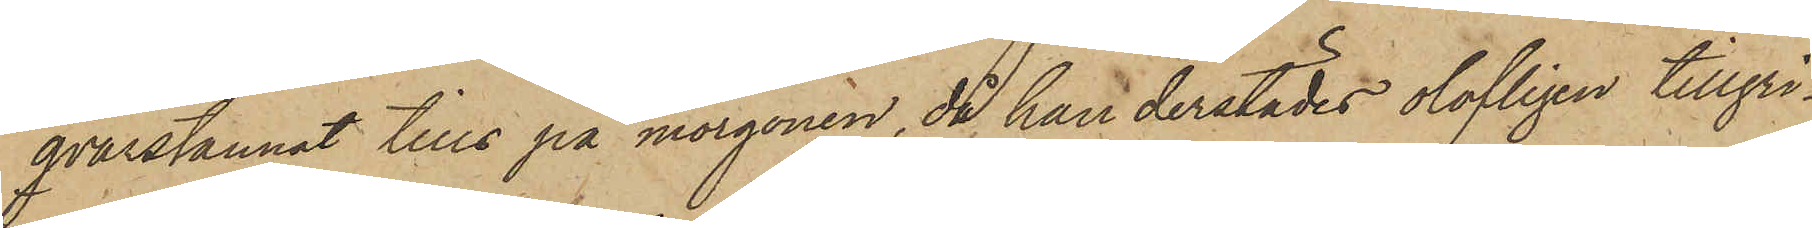qvarstannat tills på morgonen, då han derstädes olofligen tillgri¬
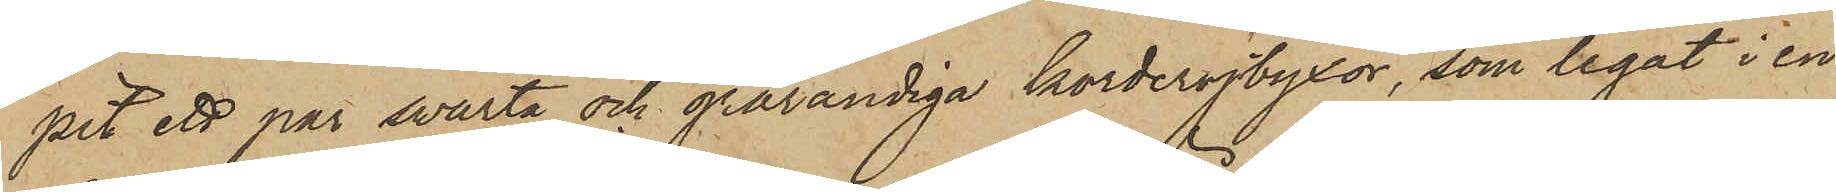pit ett par svarta och grårandiga korderojbyxor, som legat i en
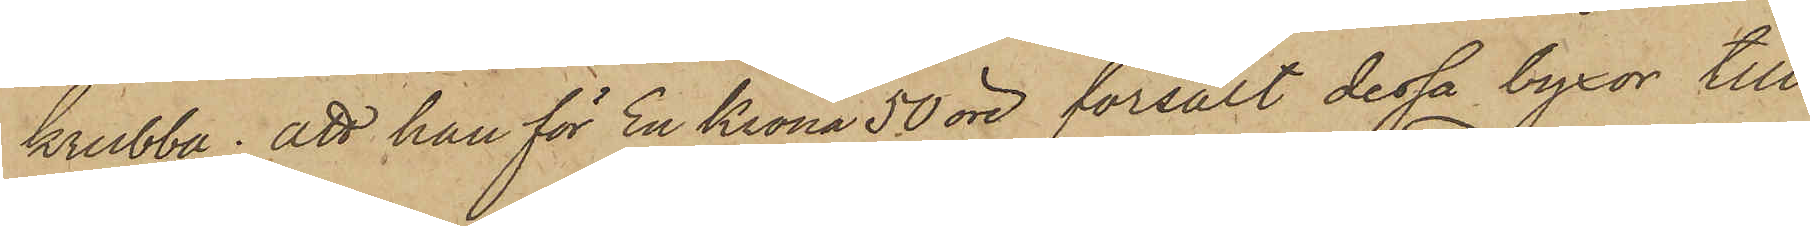krubba; att han för En Krona 50 öre försålt dessa byxor till
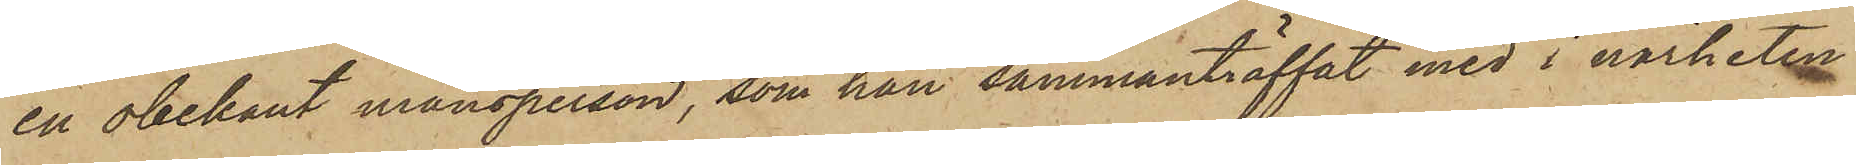en obekant mansperson, som han sammanträffat med i närheten
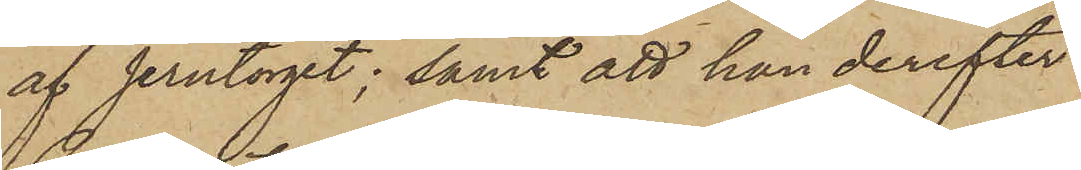af Jerntorget; samt att han derefter
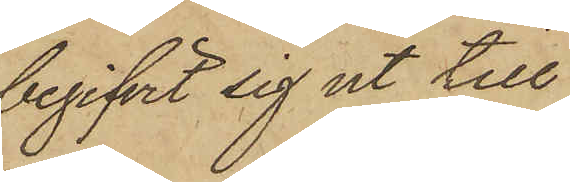begifvit sig ut till
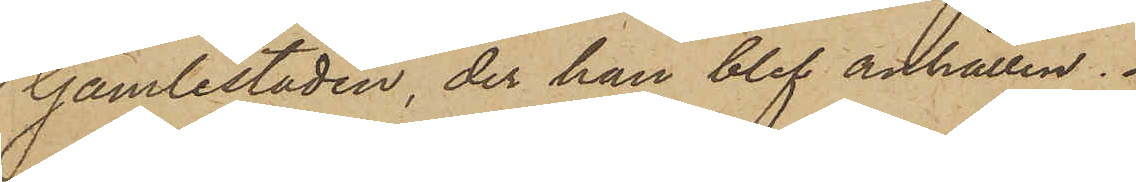Gamlestaden, der han blef anhållen.
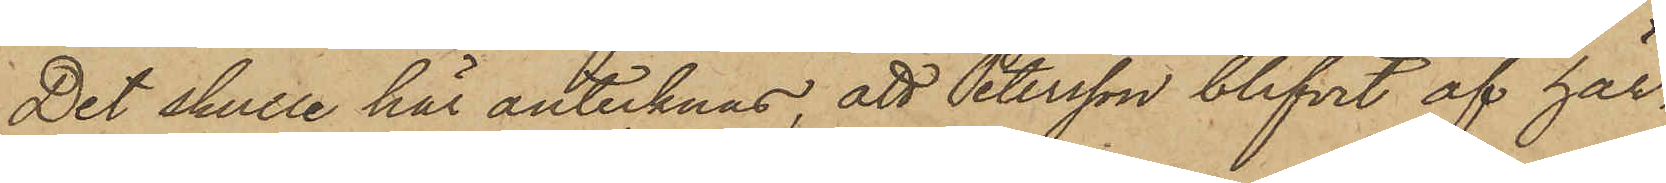Det skulle här antecknas, att Petersson blifvit af här¬
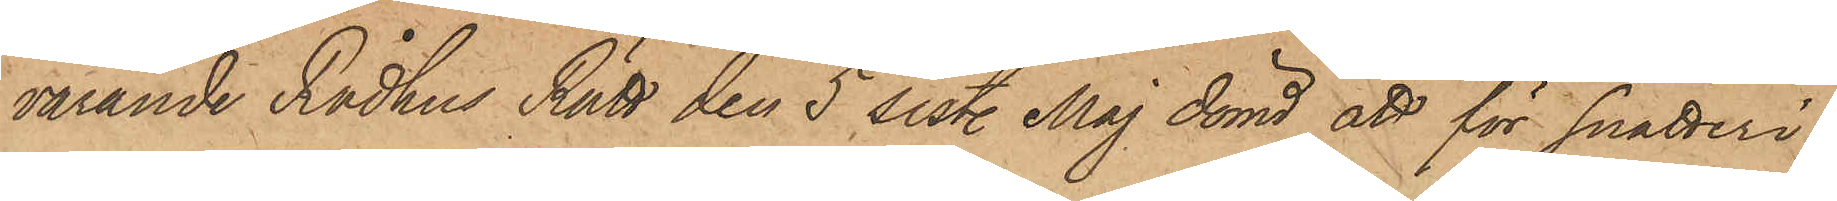varande Rådhus Rätt den 5 sist. Maj dömd att för snatteri
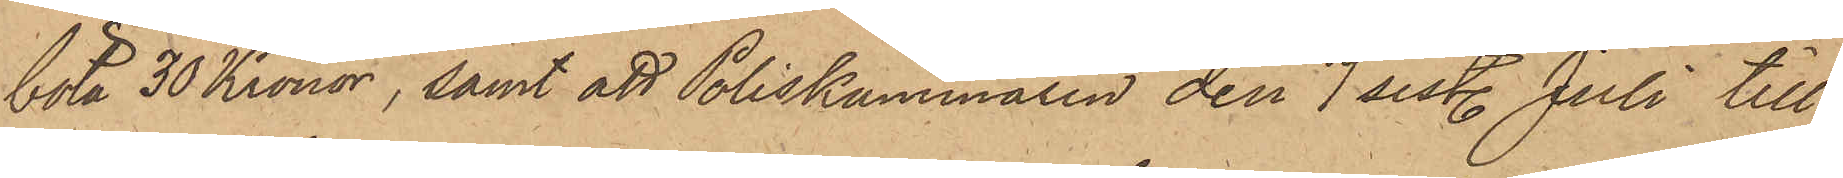böta 30 Kronor, samt att Poliskammaren den 7 sistl. Juli till
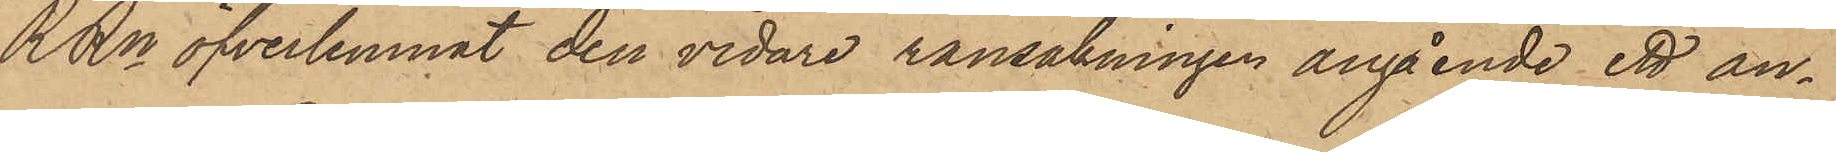RRn öfverlemnat den vidare ransakningen angående ett an¬
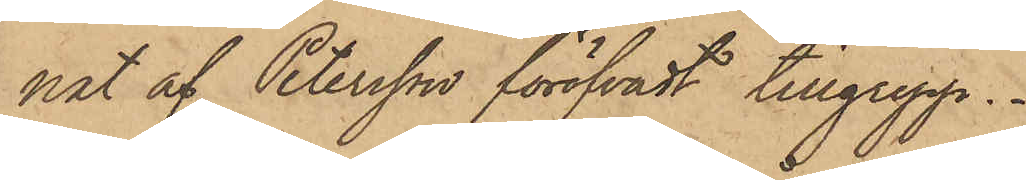nat af Petersson föröfvadt tillgrepp.
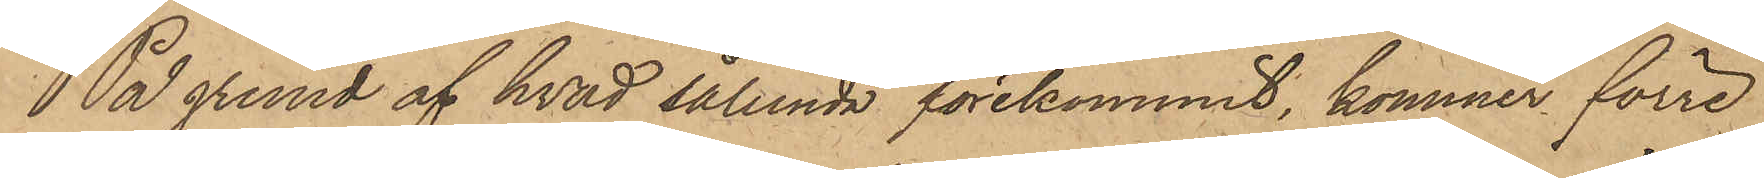På grund af hvad sålunda förekommit, kommer förre
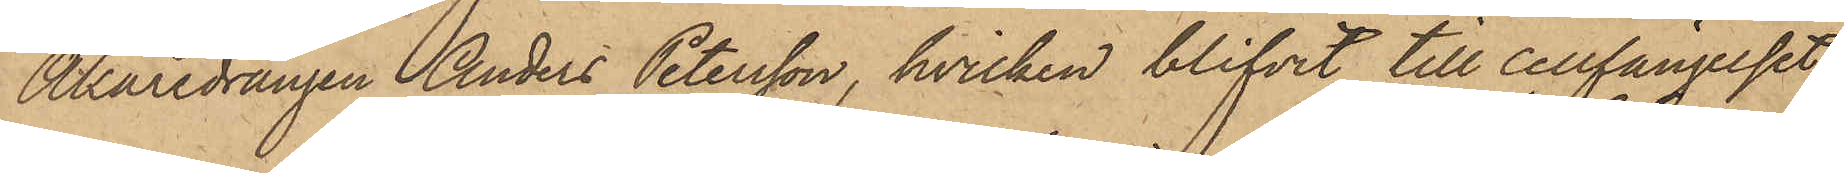Åkaredrängen Anders Petersson, hvilken blifvit till cellfängelset
